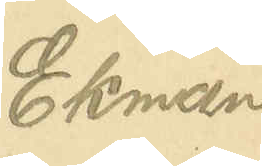Ekman
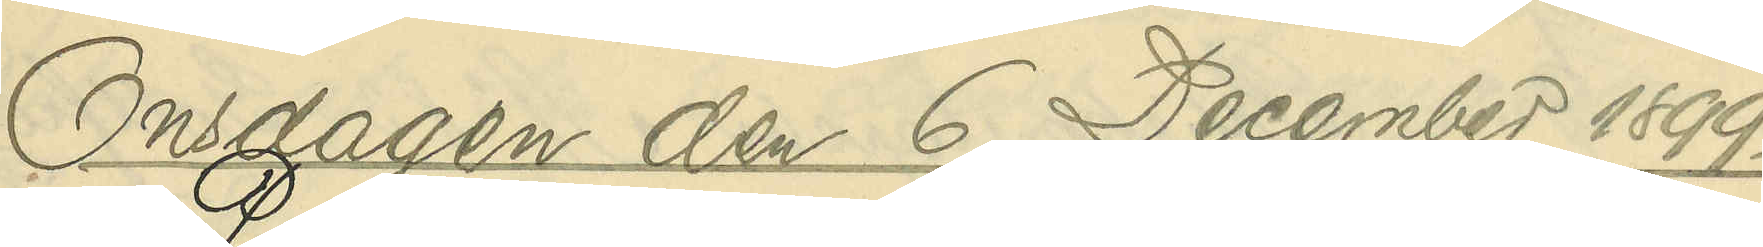Onsdagen den 6 December 1899.
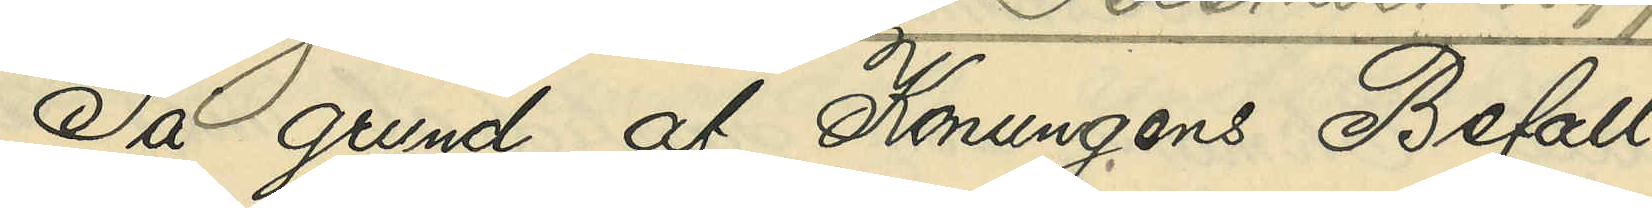På grund af Konungens Befall¬
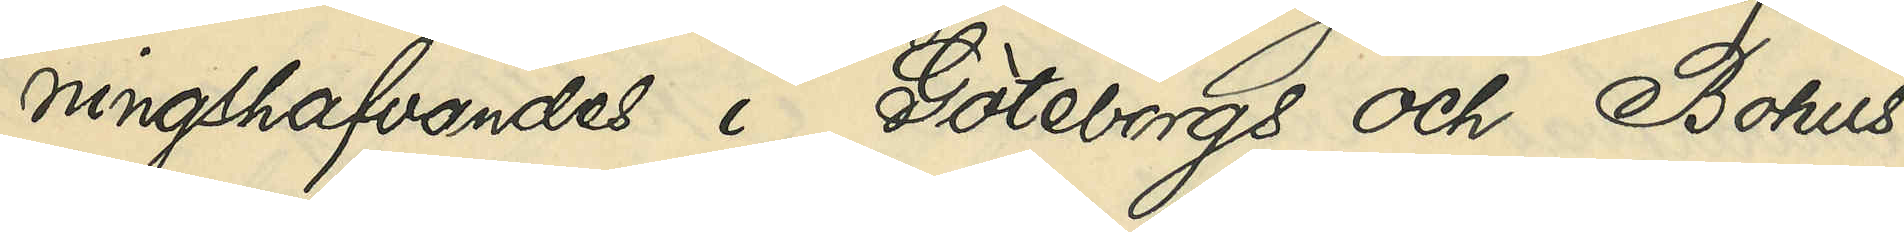ningshafvandes i Göteborgs och Bohus
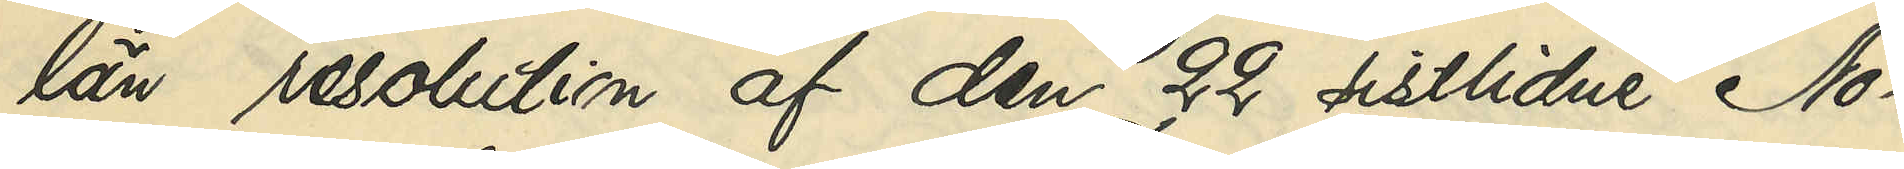län resolution af den 22 sistlidne No¬
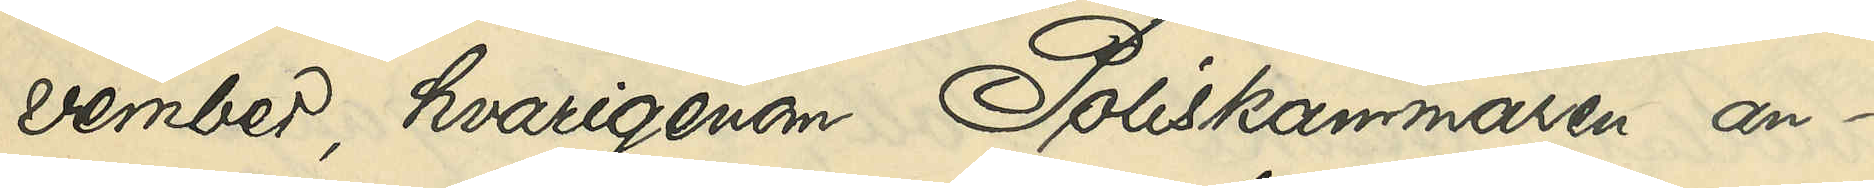vember, hvarigenom Poliskammaren an¬
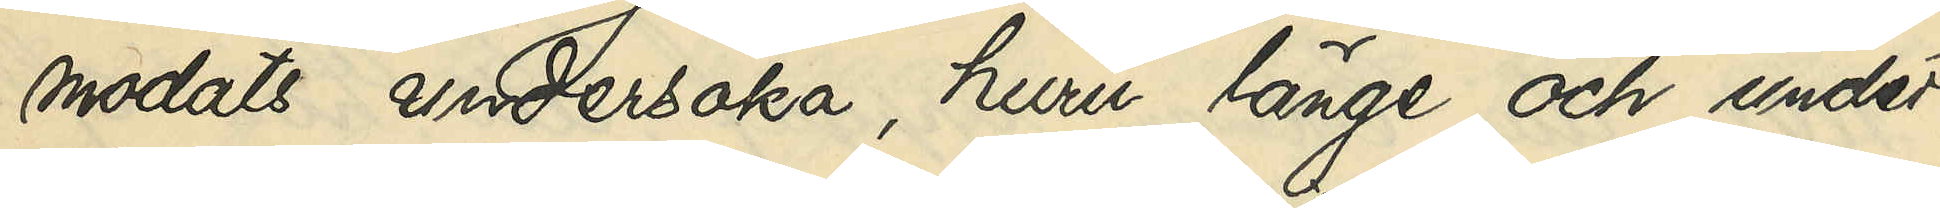modats undersöka, huru länge och under
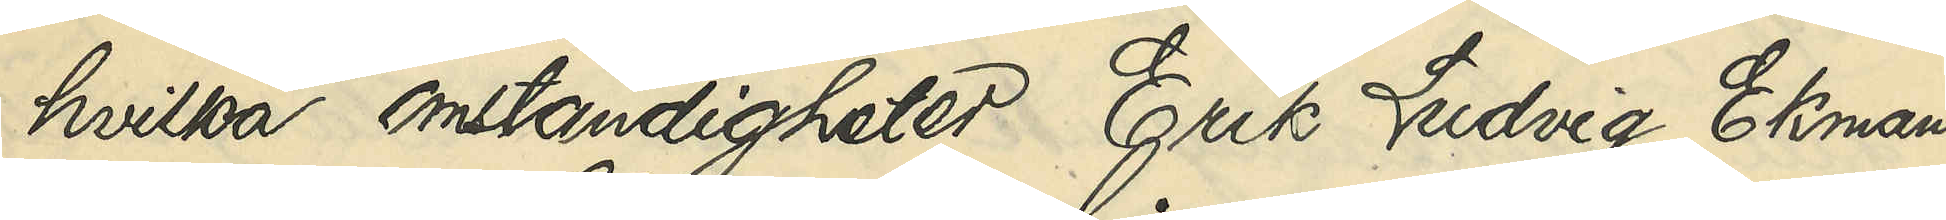hvilka omständigheter Erik Ludvig Ekman
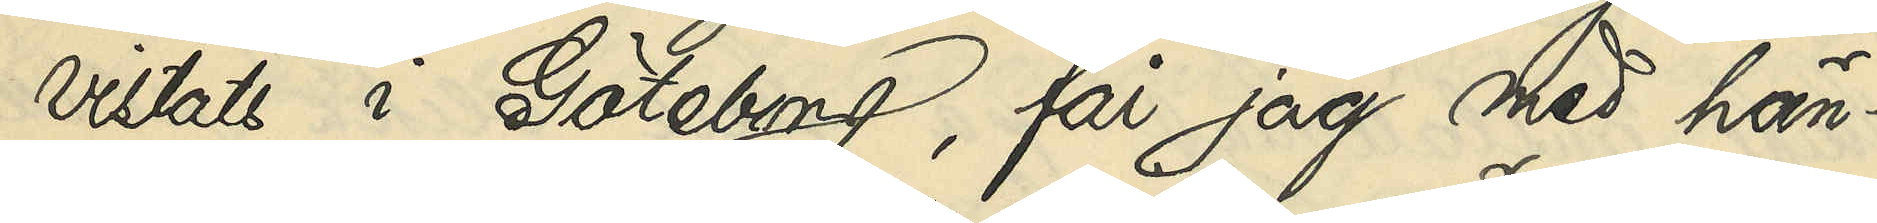vistats i Göteborg, får jag med hän¬
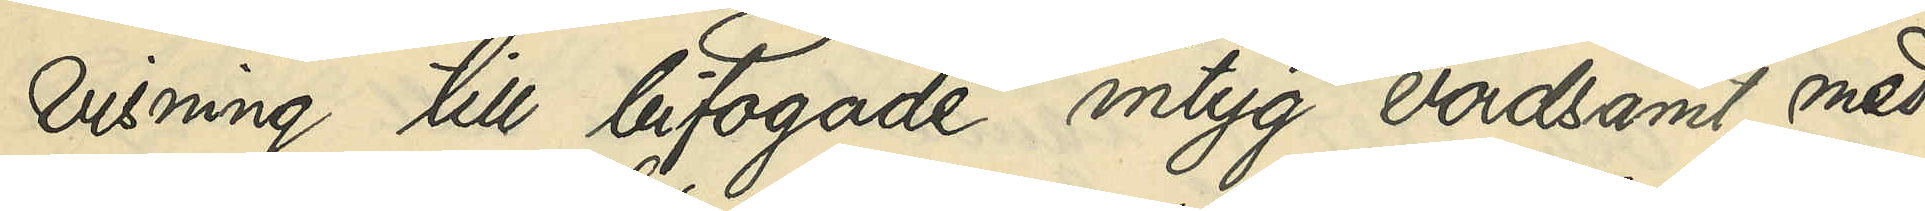visning till bifogade intyg vördsamt med¬
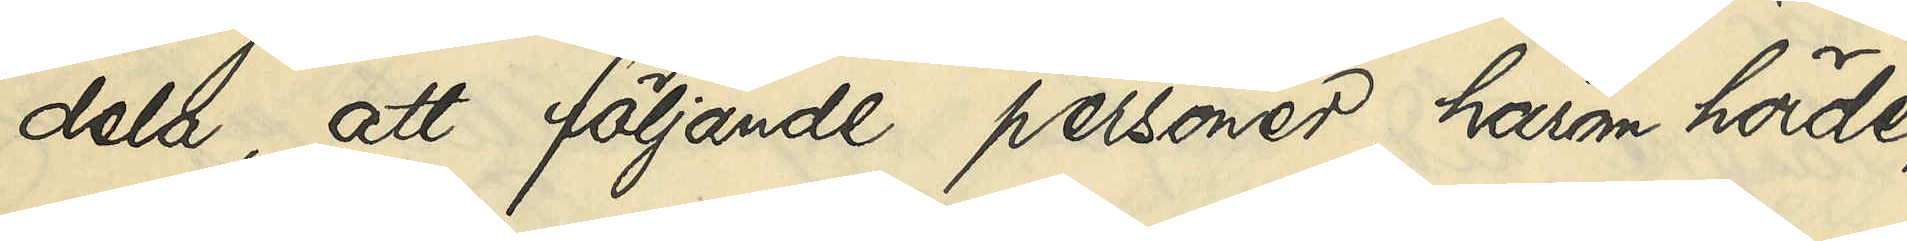dela, att följande personer, härom hörde
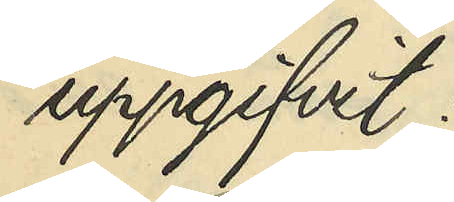uppgifvit:
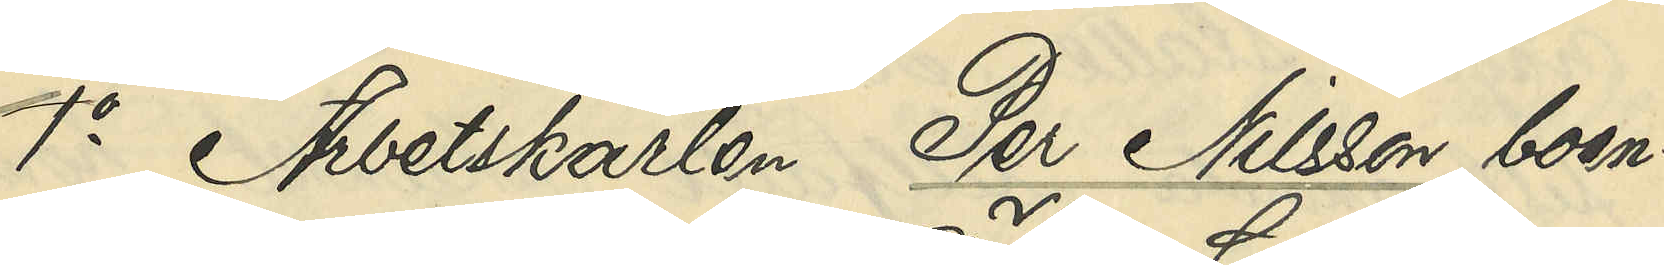1o Arbetskarlen Per Nilsson, boen¬
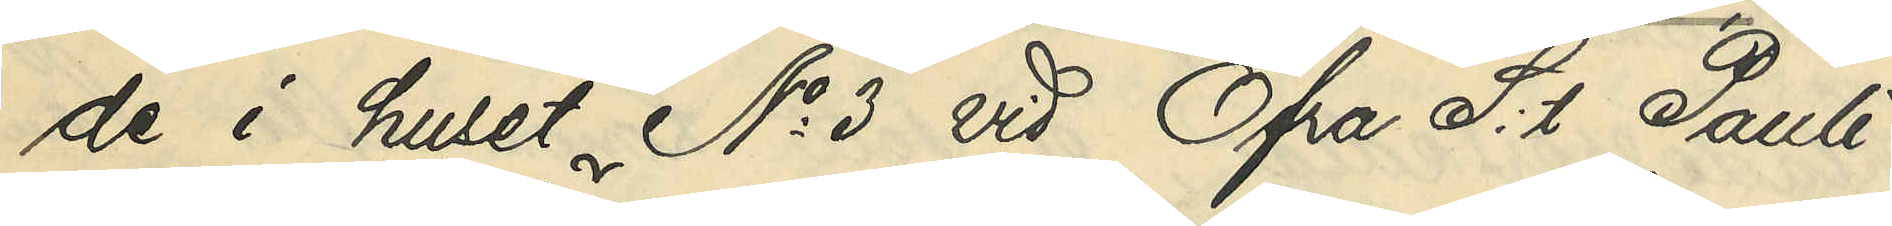de i huset No 3 vid Öfra S:t Pauli¬
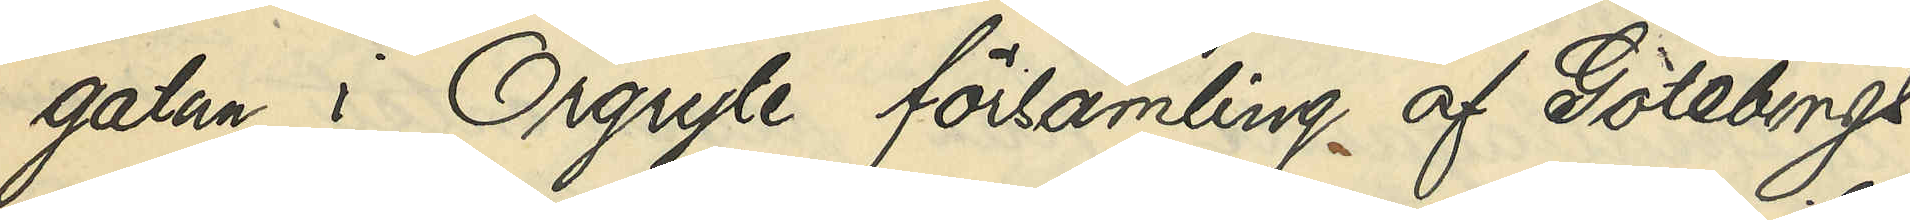gatan i Örgryte församling af Göteborgs
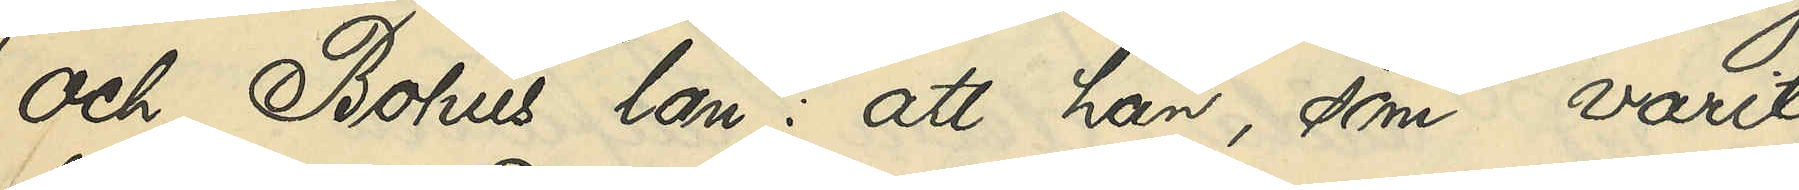och Bohus län: att han, som varit
